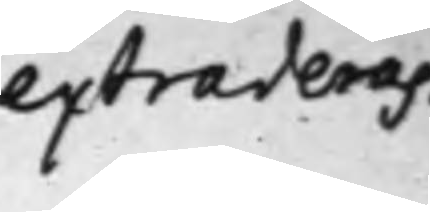extraderas.
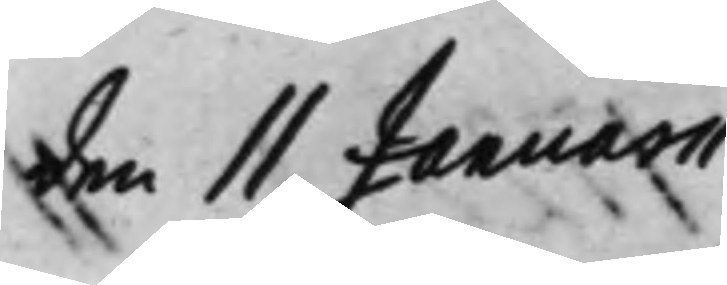den 11 Januarii
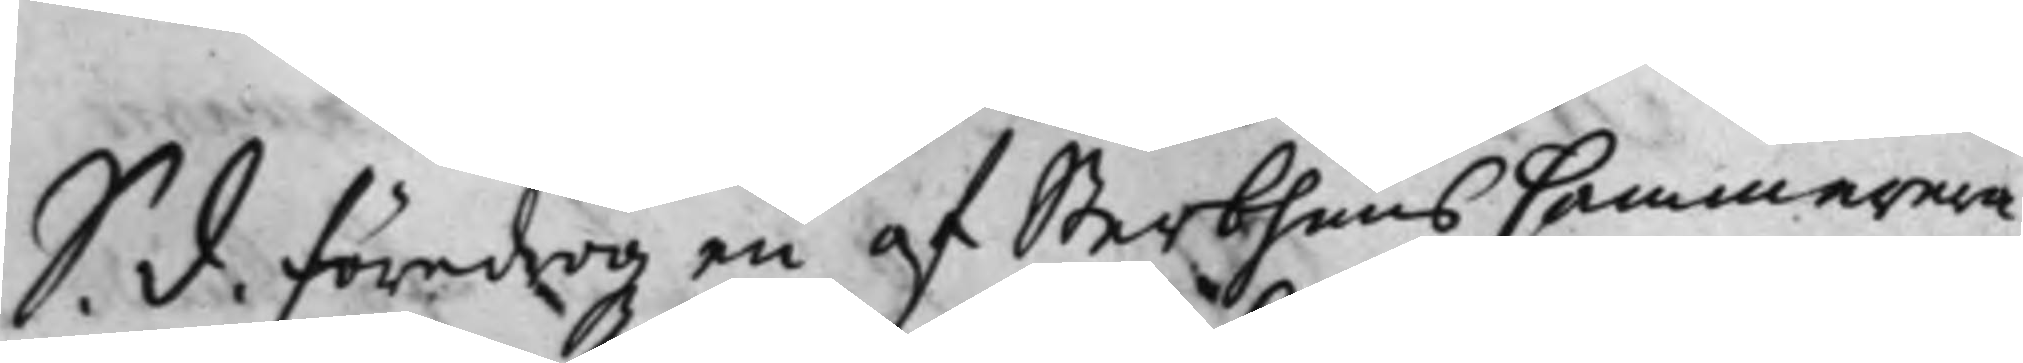S. d. Föredrogz en af SterbhuusCammerera¬
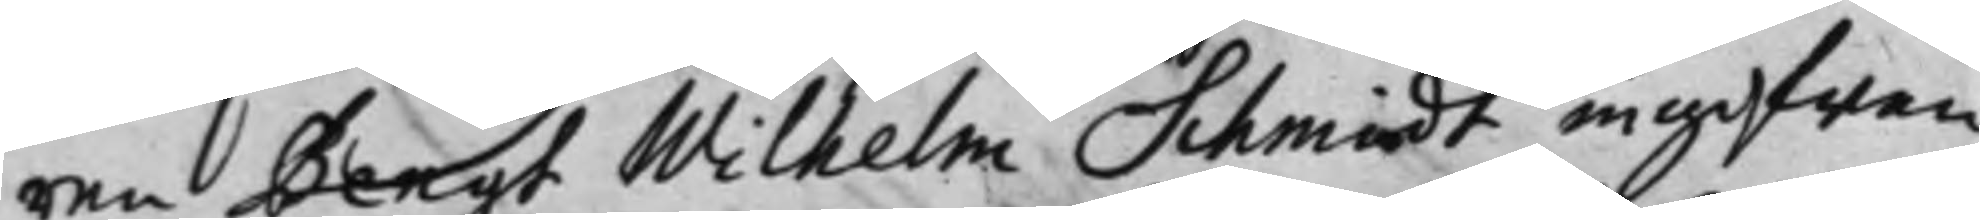ren Bengt Wilhelm Schmidt ingifwen
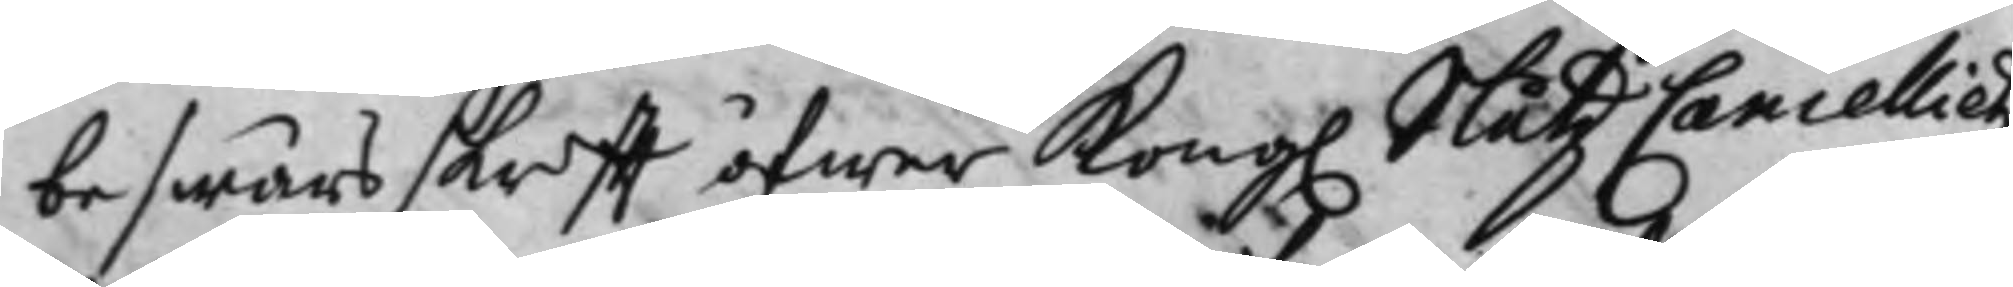beswärs skrifft öfwer Kong. SlåtzCancellietz
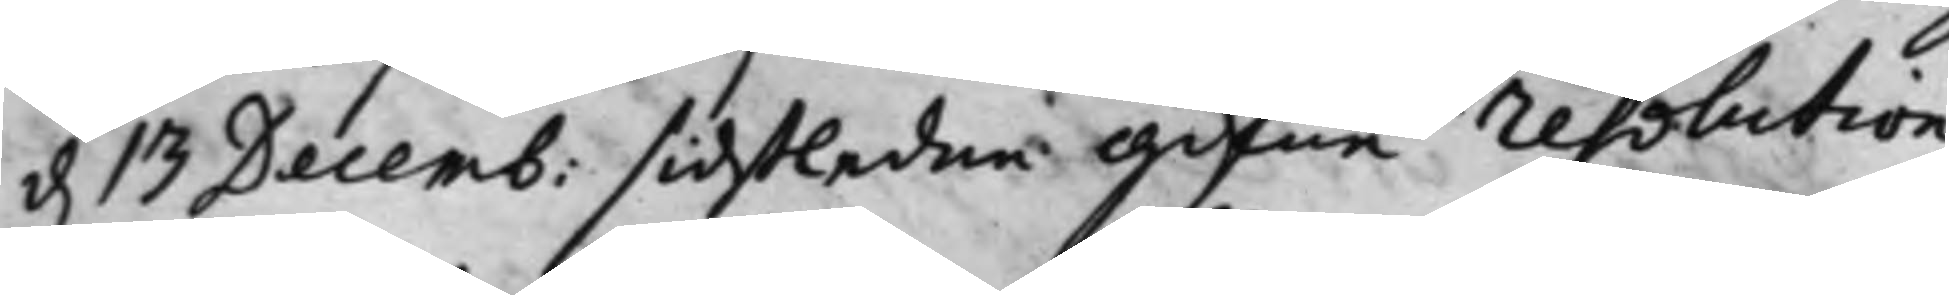d. 13 Decemb: sidstledne gifne resolution
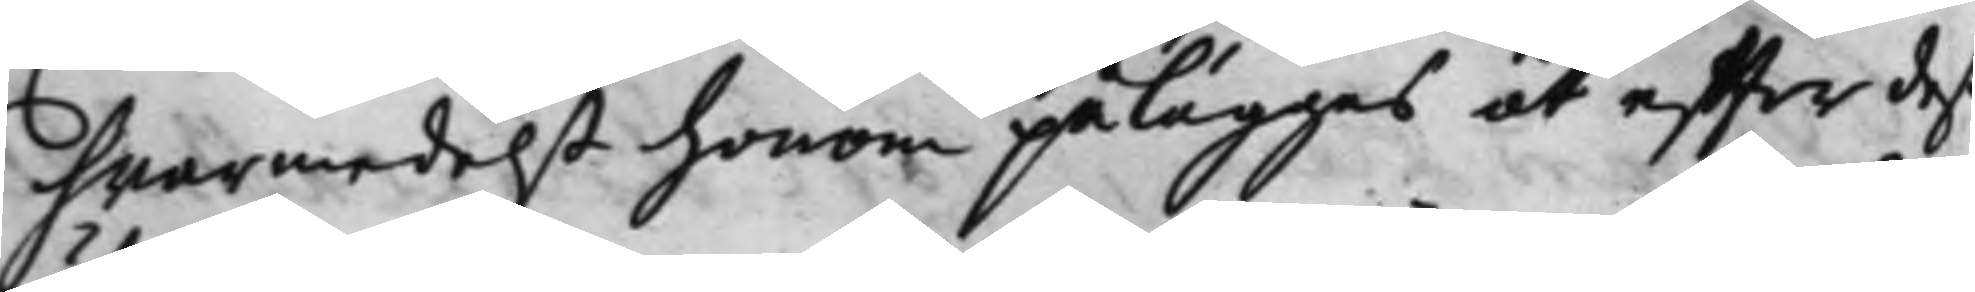hvarmedelst honom pålägges at efter deß
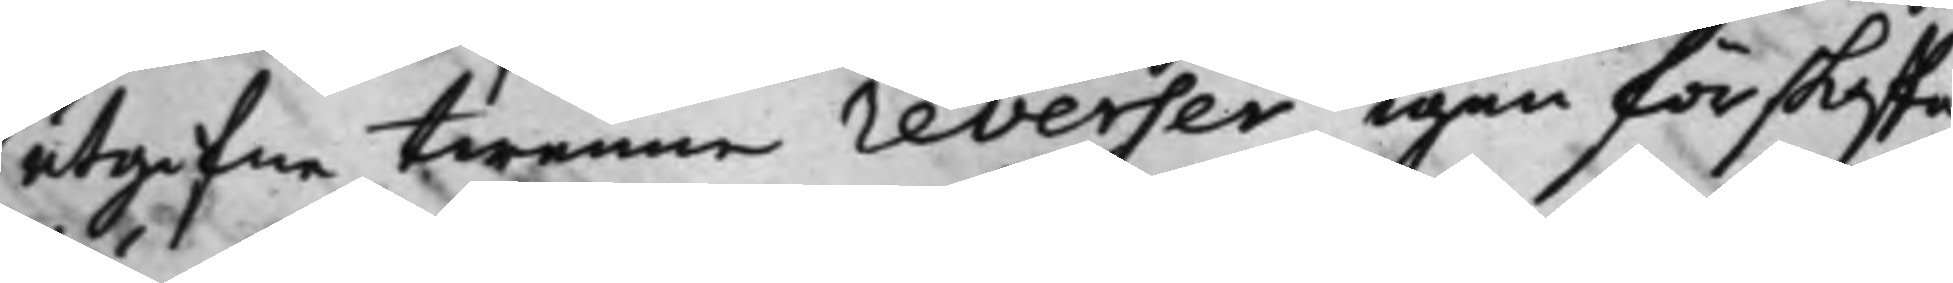utgifne twenne reverser, igen förskaffa
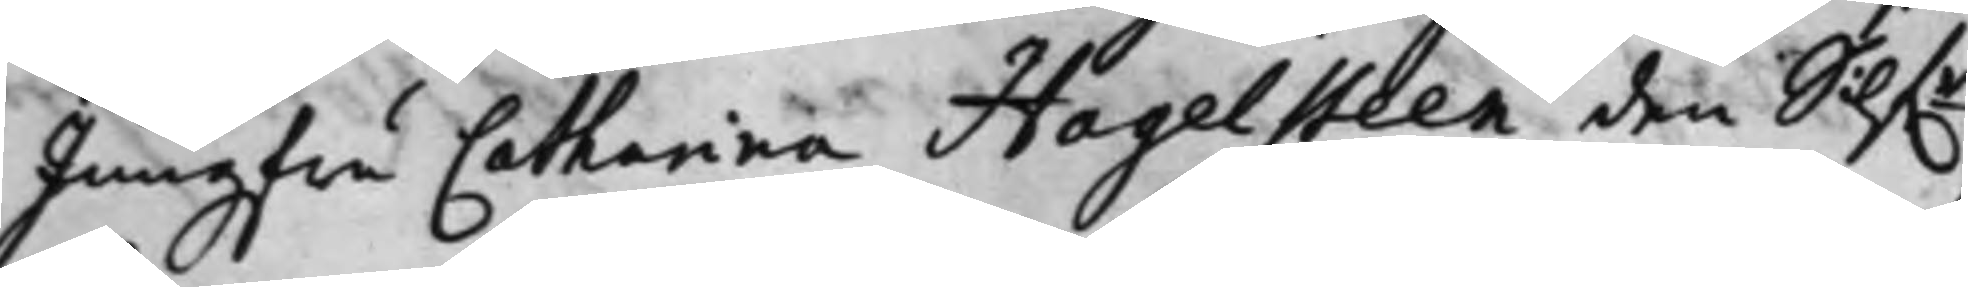Jungfru Catharina Hagelsteen den Silf.r
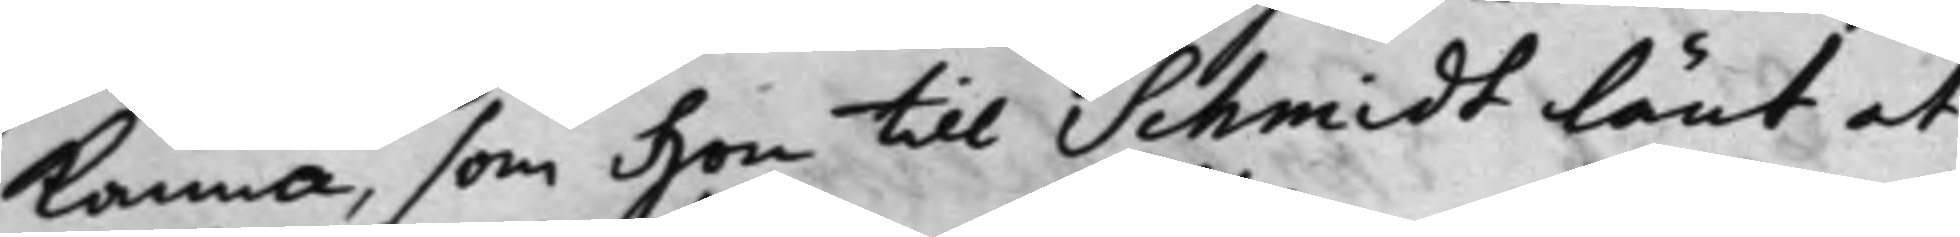Kanna, som Hon till Schmidt lånt at
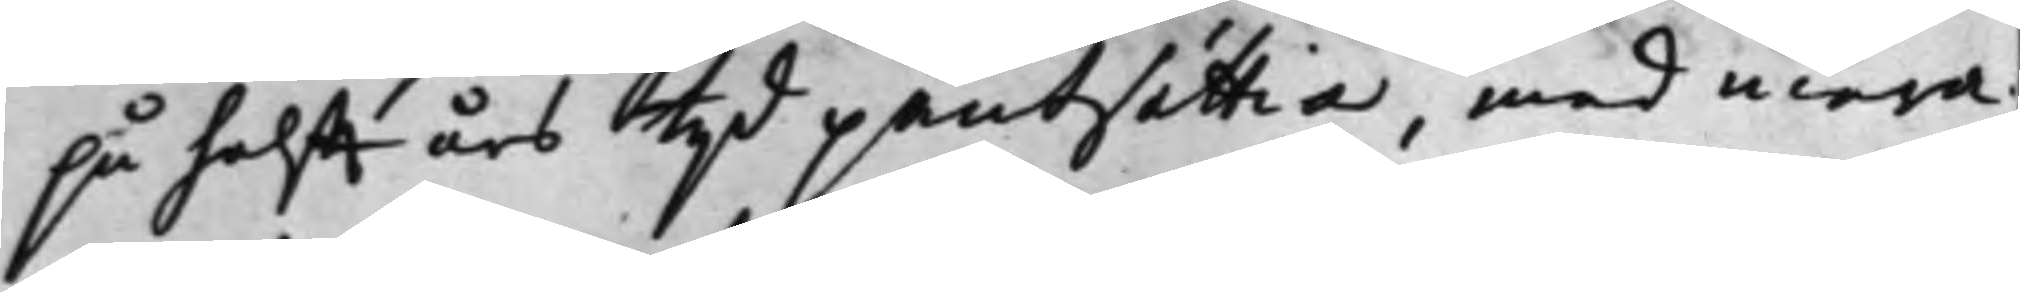på halfft års tijd pantsättia, med mera;
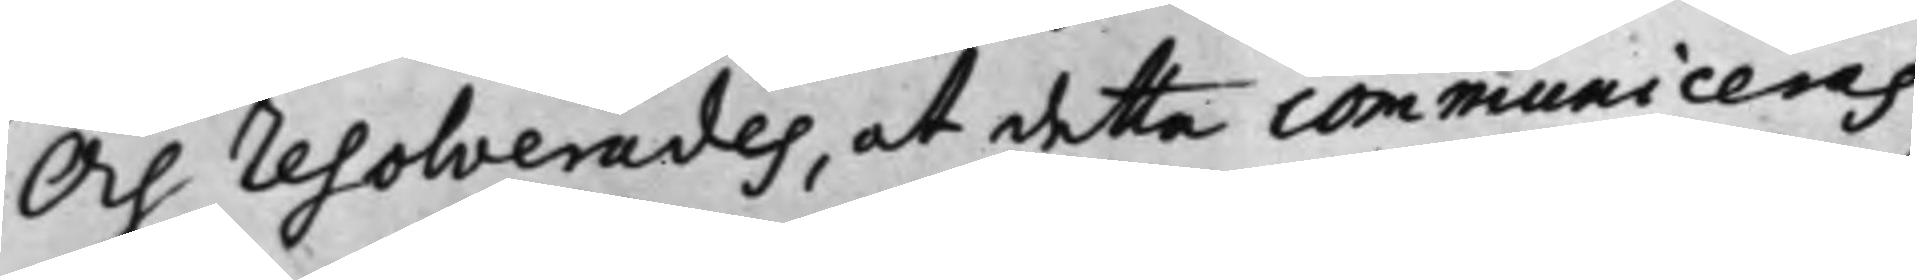Och resolverades, at detta communiceras
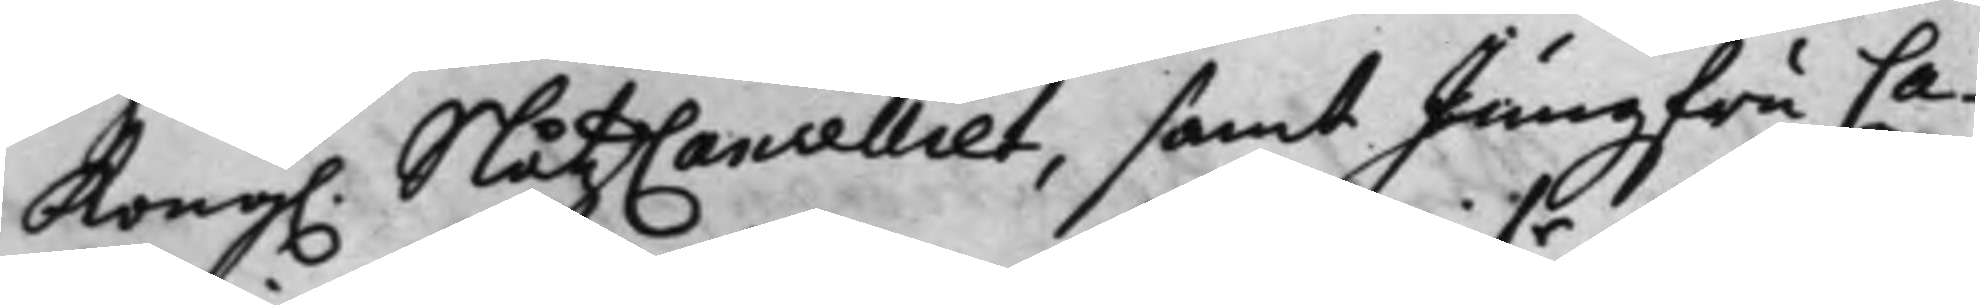Kong. SlåtzCancelliet, samt Jungfru Ca¬
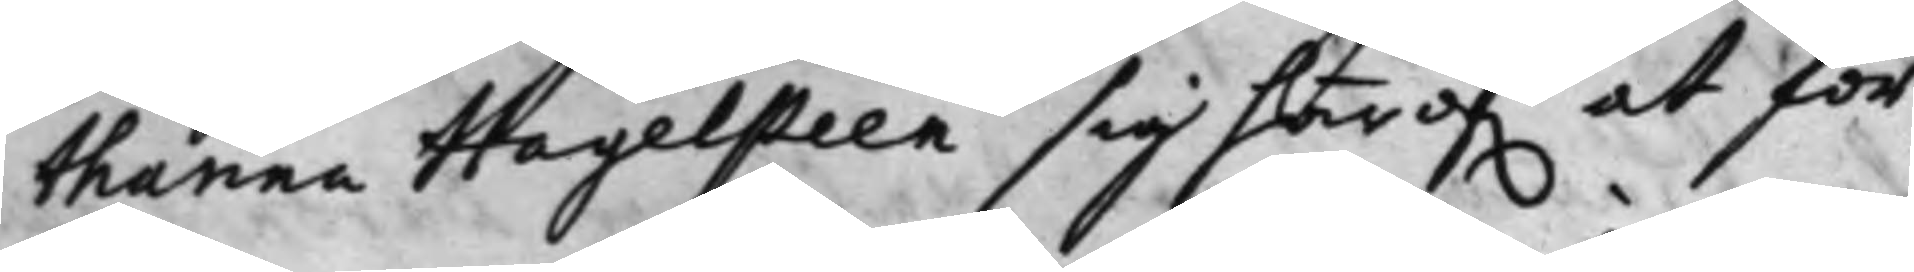tharina Hagelsteen sig här öf.r at för¬
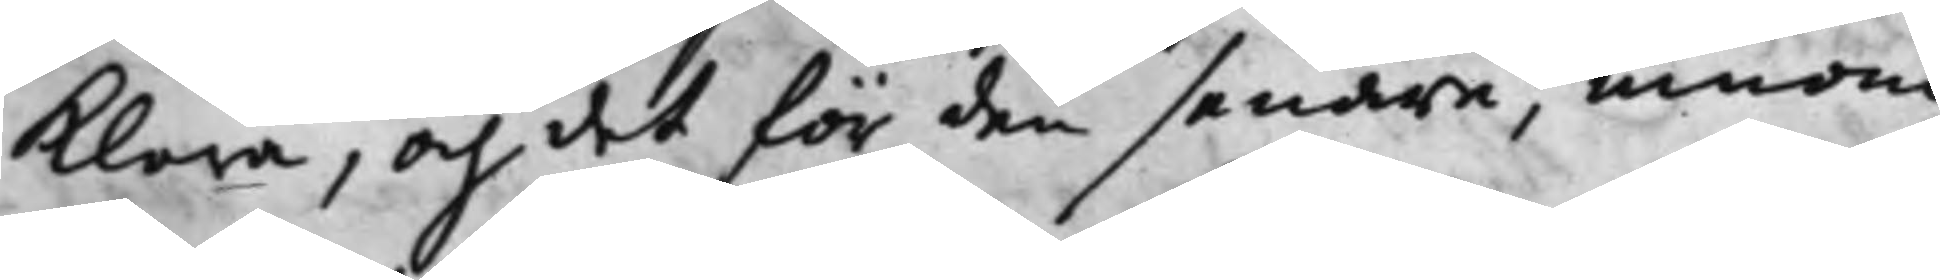klara, och det för den senare, innom
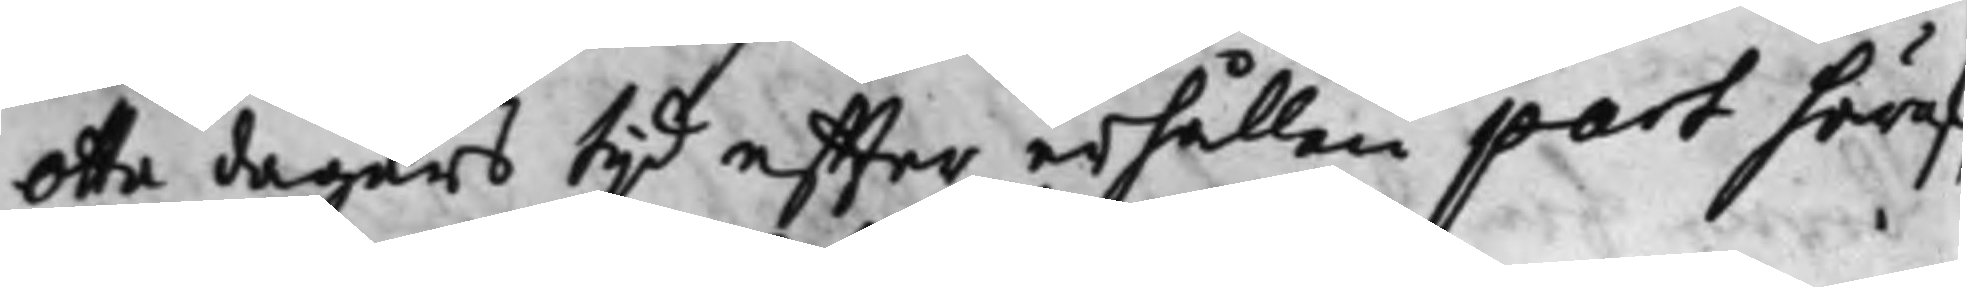Otta dagars tijd effter erhållen part häraf,
